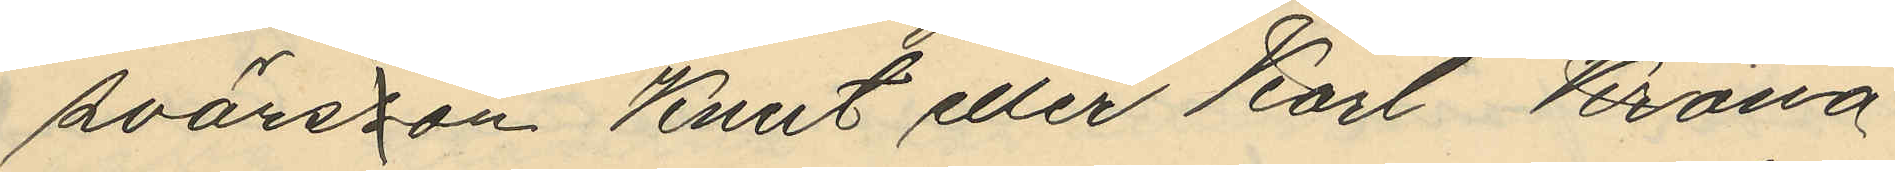svärsson Knut eller Karl Krona
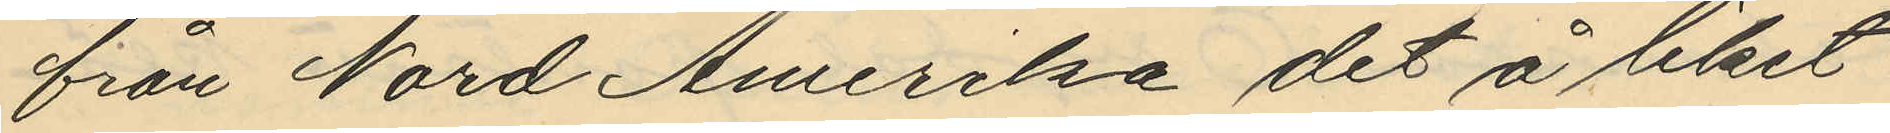från Nord Amerika det å liket
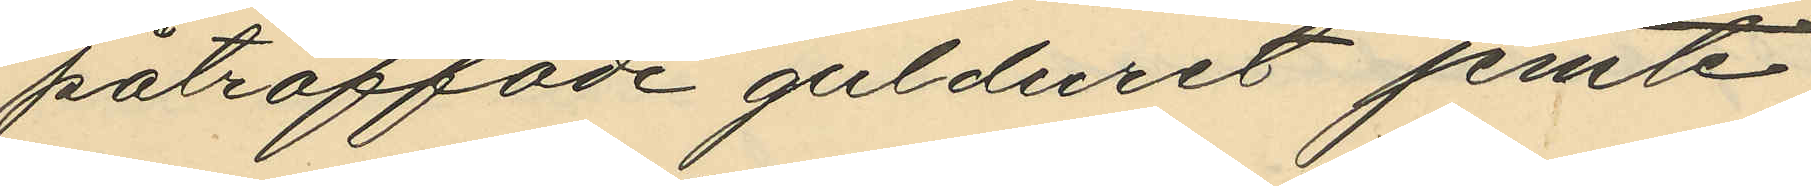påträffade gulduret jemte
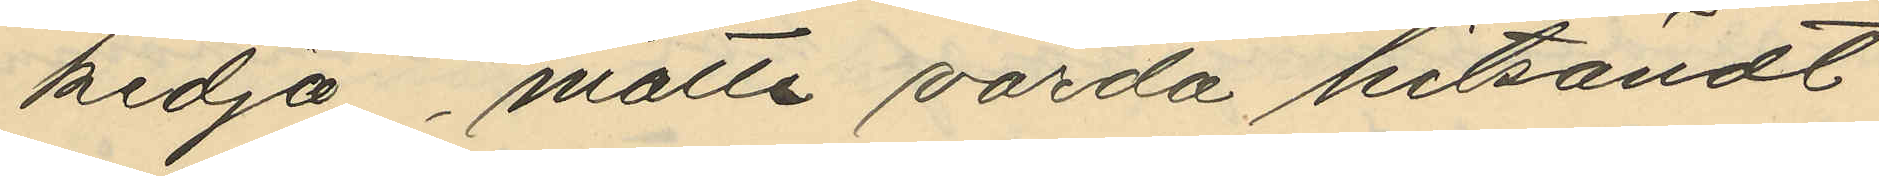kedja, måtte varda hitsändt
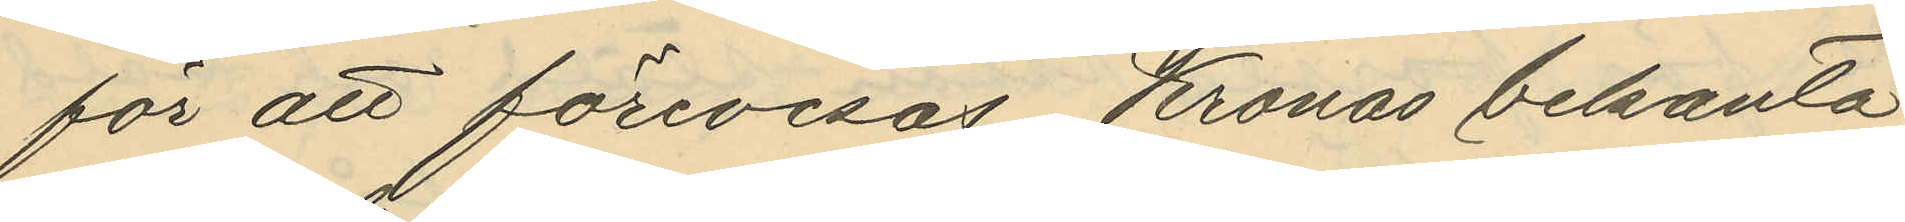för att förevisas Kronas bekanta
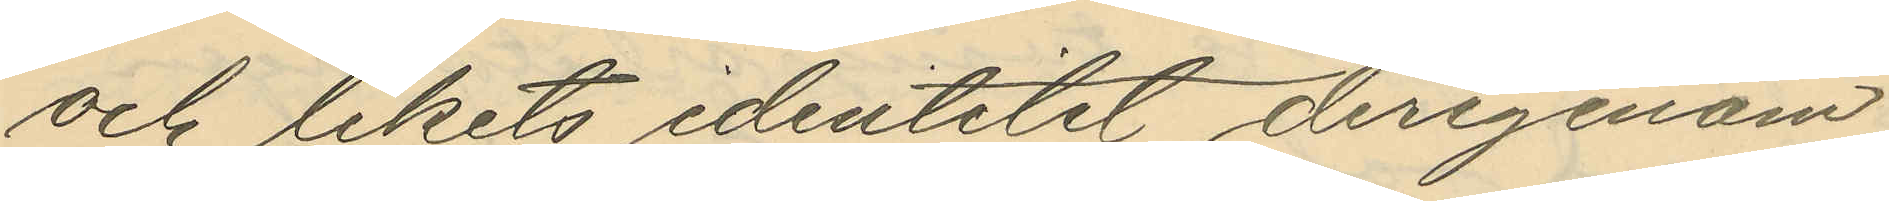och likits identitet derigenom
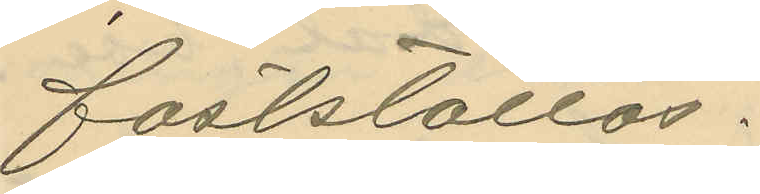fastställas.
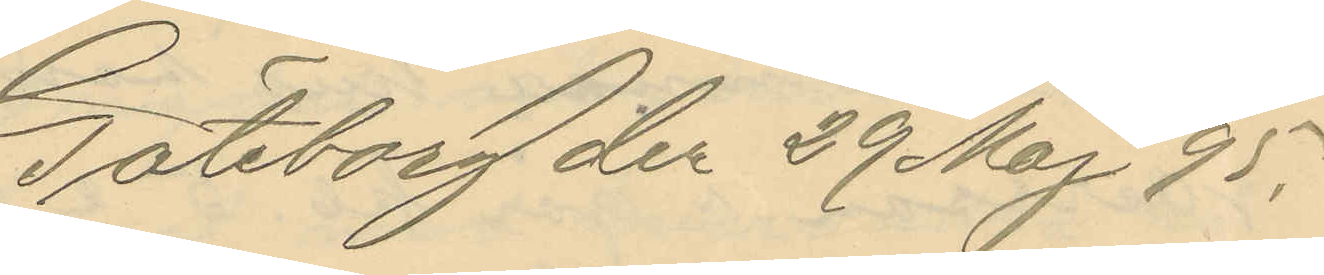Göteborg den 29 Maj 95.
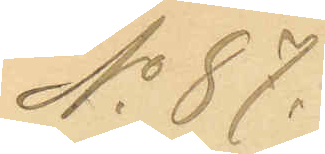No 87.
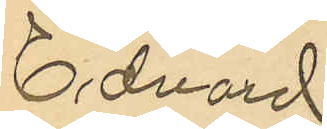Edvard
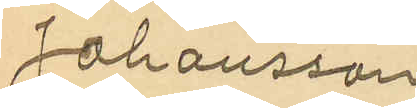Johansson
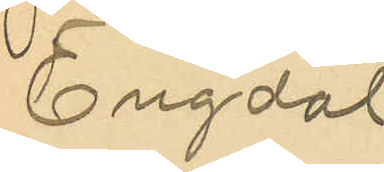Engdal
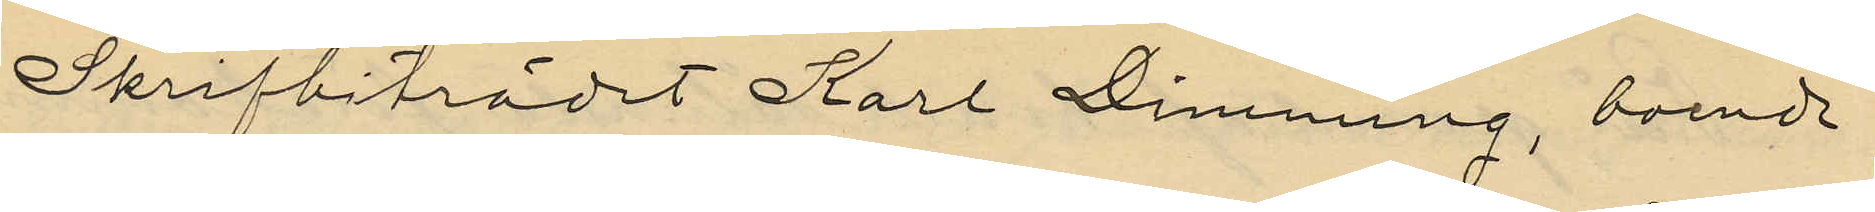Skrifbiträdet Karl Dimming, boende
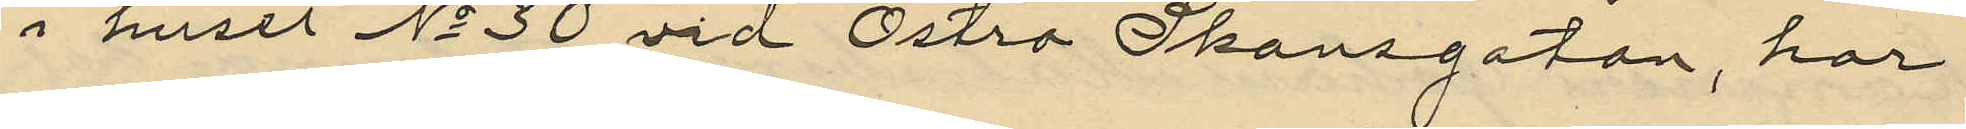i huset No 30 vid Östra Skansgatan, har
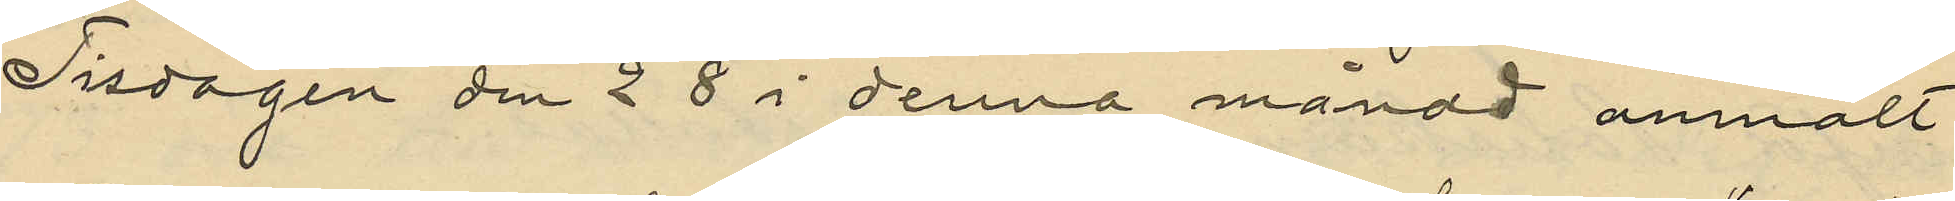Tisdagen den 28 i denna månad anmält
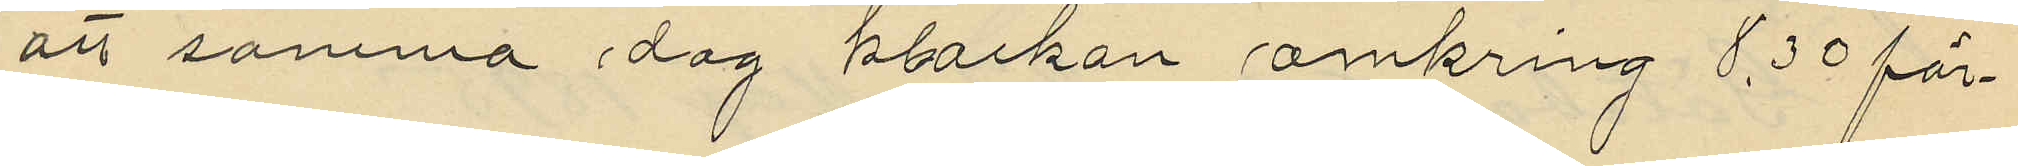att samma dag klockan omkring 6,30 för¬
